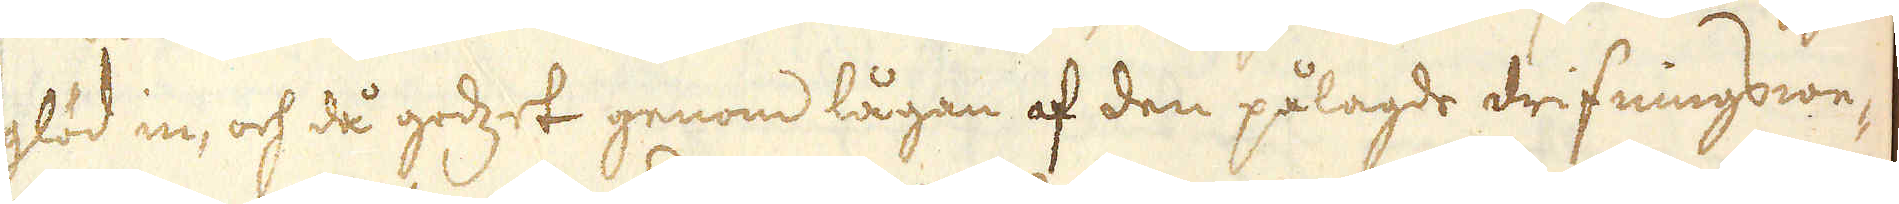glöd in, och då godzet genom lågan af den pålagde drifningswe-
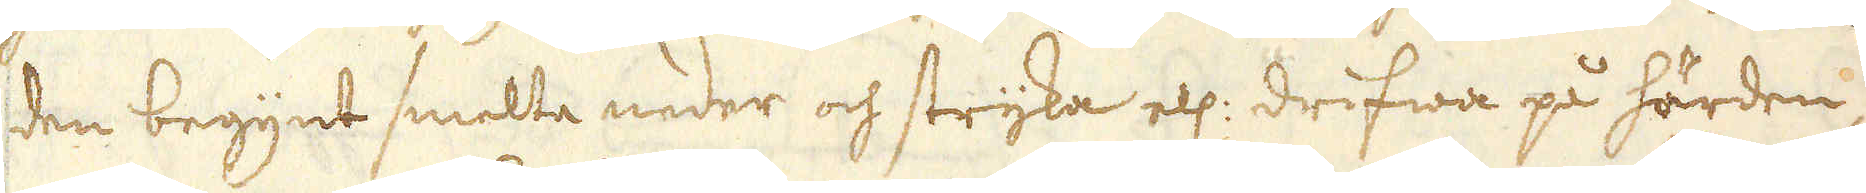den begynt smelta neder och stryka ell: drifwa på härden,
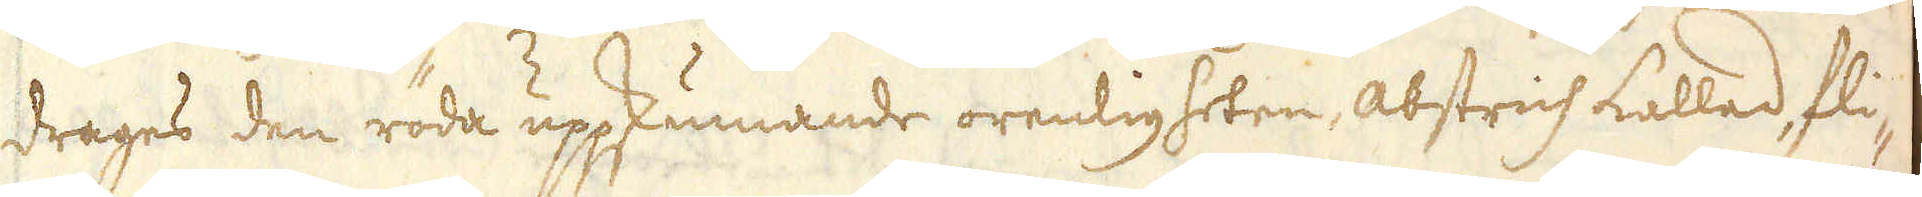drages den röda uppskumande orenligheten, abstrich kallad, fli-
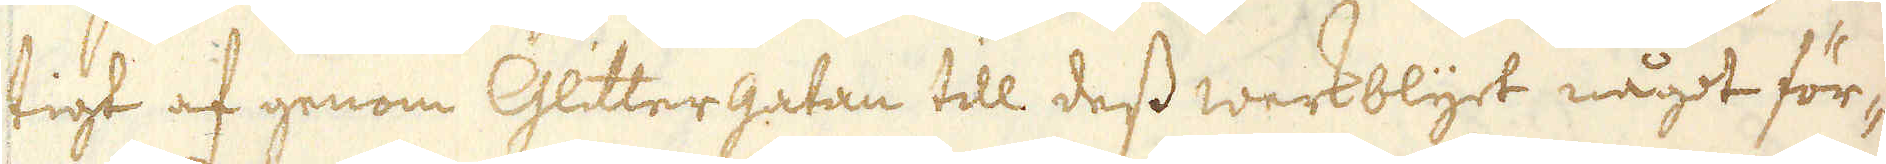tigt af genom Glittergatan till dess werkblyet något för-
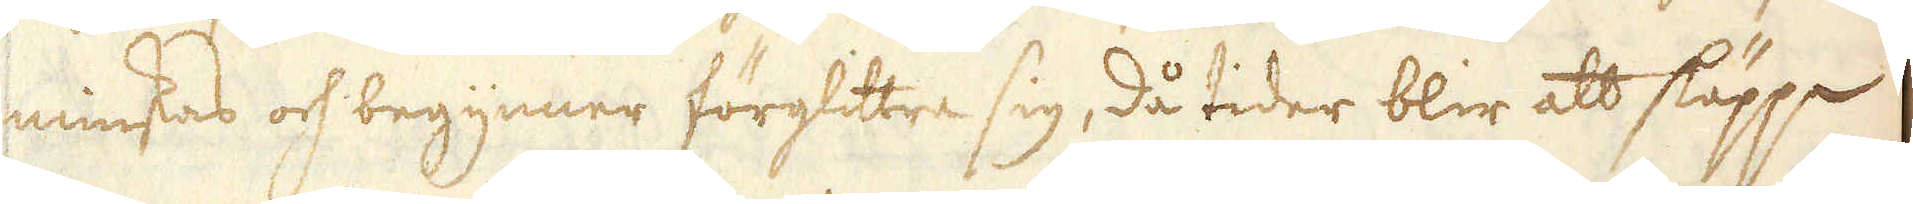minskas och begynner förglittra sig, då tider blir att släppa
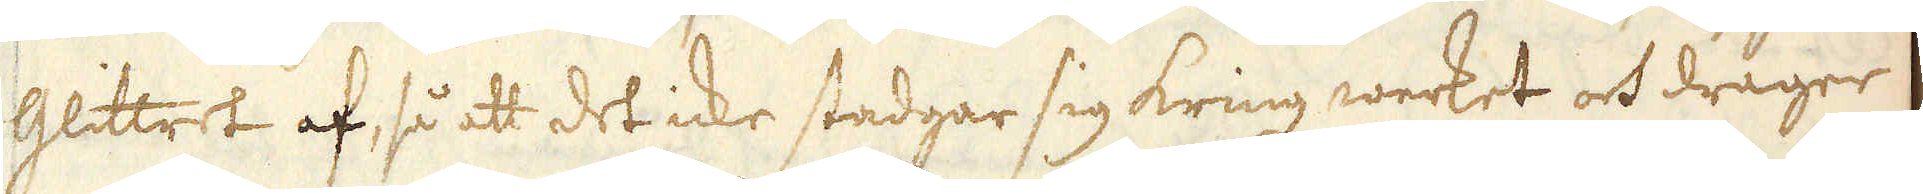Glittret af, så att det icke stadgar sig kring werket och drager
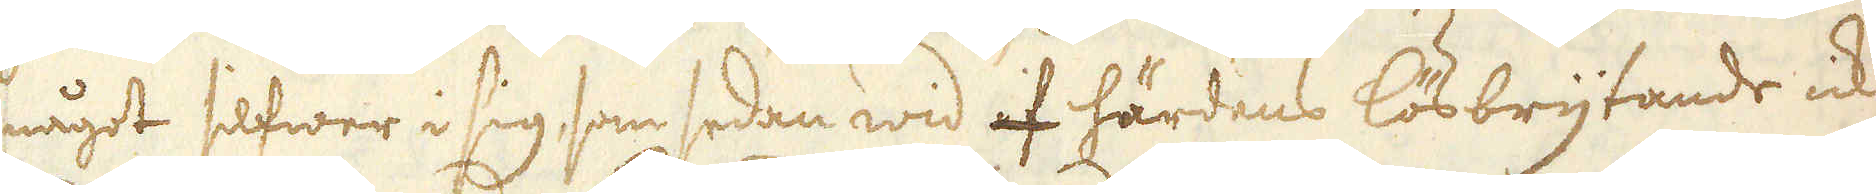något silfwer i sig, som sedan wid af härdens lösbrytande icke
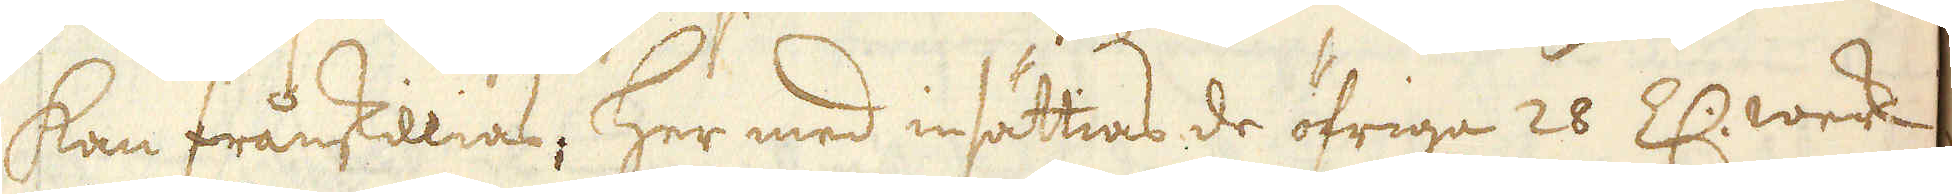kan frånskillias; Her med insättias de öfriga 26 Z: werck
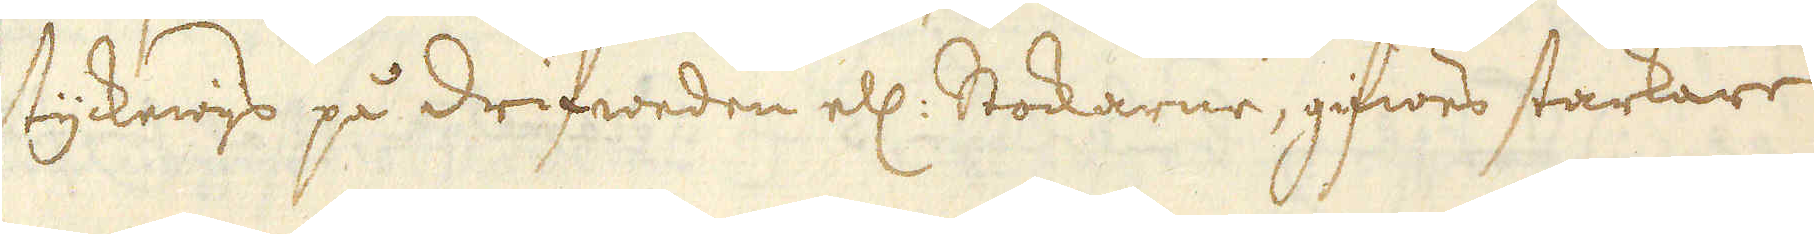stycknings på drifweden ell: Stockarne, gifwes starkare
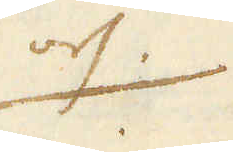och
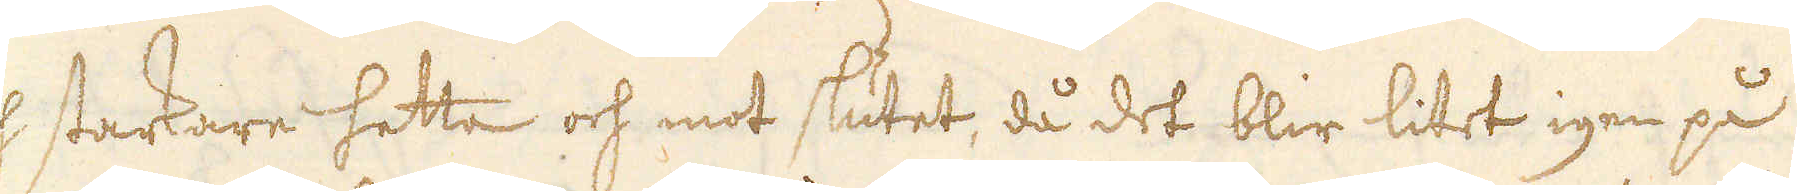och starkare hetta och mot slutet, då det blir litet igen på
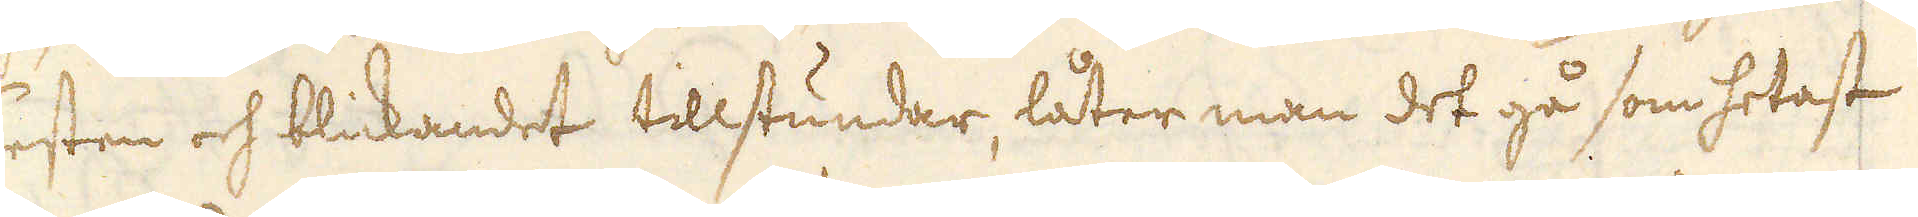Testen och blickandet tillstundar, låter man det gå som hetast
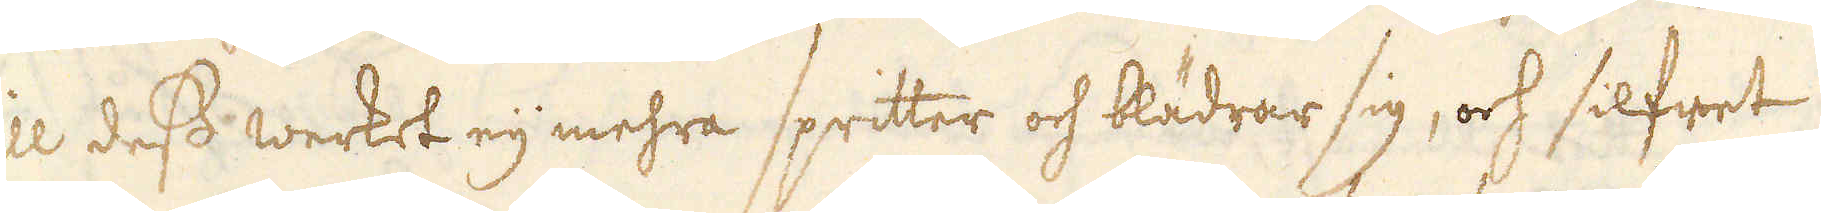till dess werket eij mehra spritter och blädrar sig, och silfret
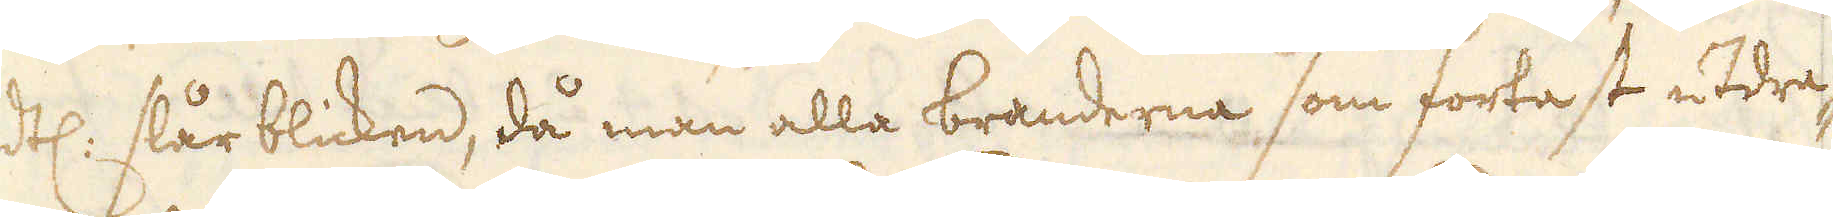ändtl: slår blicken, då man alla branderna som fortast utdra-
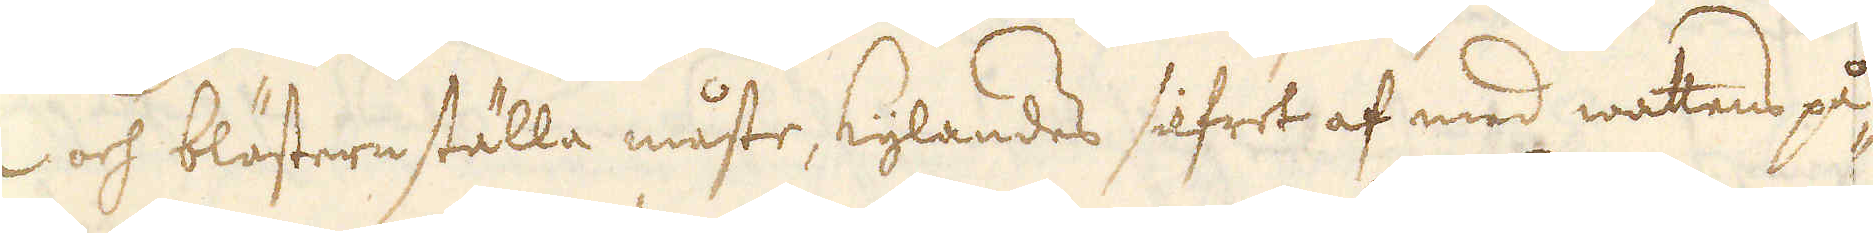ga och blästern ställa måste, kylandes silfret af med watens på-
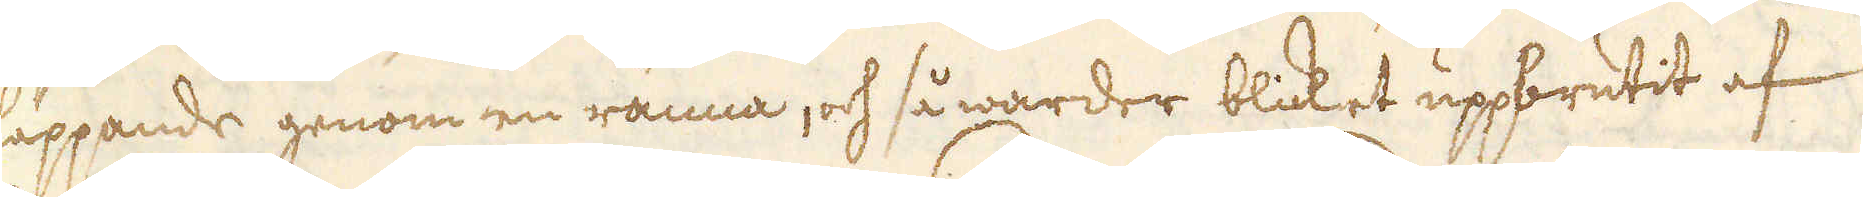släppande genom en ränna, och så warder blicket uppbrutit af
